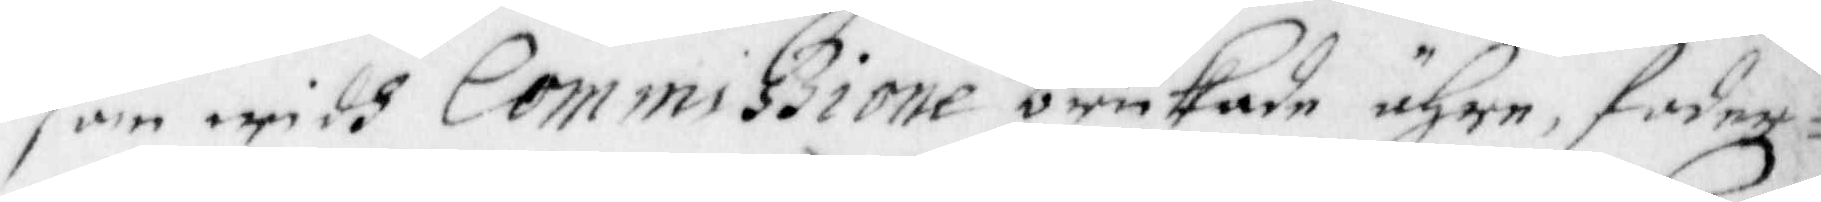som widh Commiszione brukade ähre, foder¬
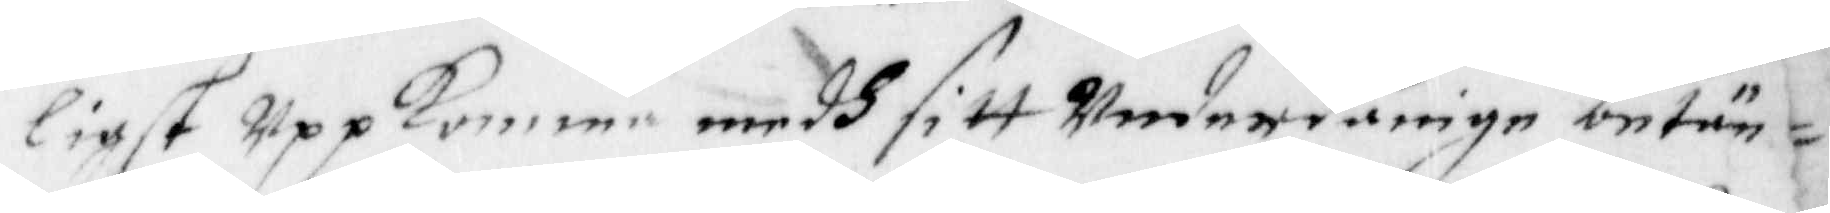ligst Uppkomme medh sitt Underdånige betä¬
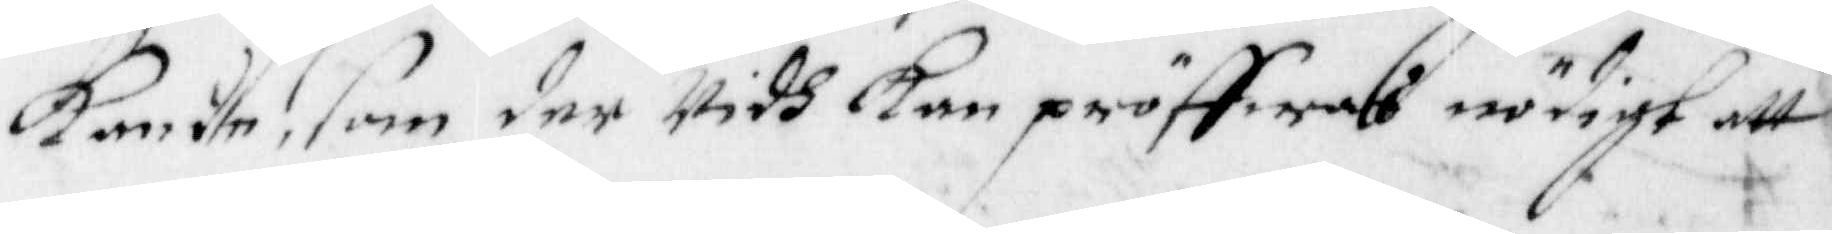kande, som der Widh Kan pröffwas nödigt att
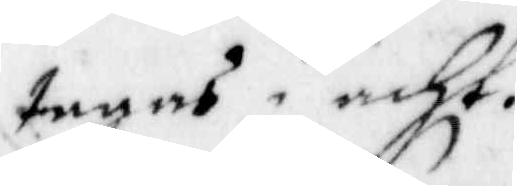tagas i acht.
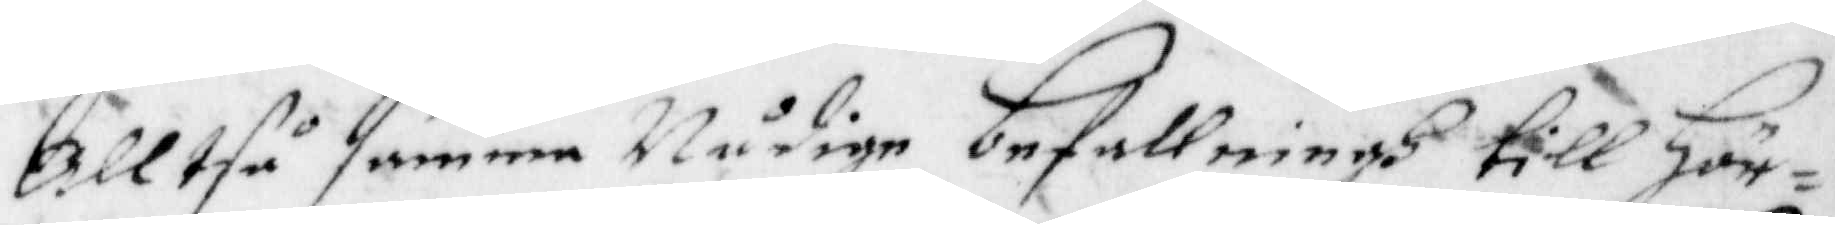Alltså samma Nådige befallningh till Hör¬
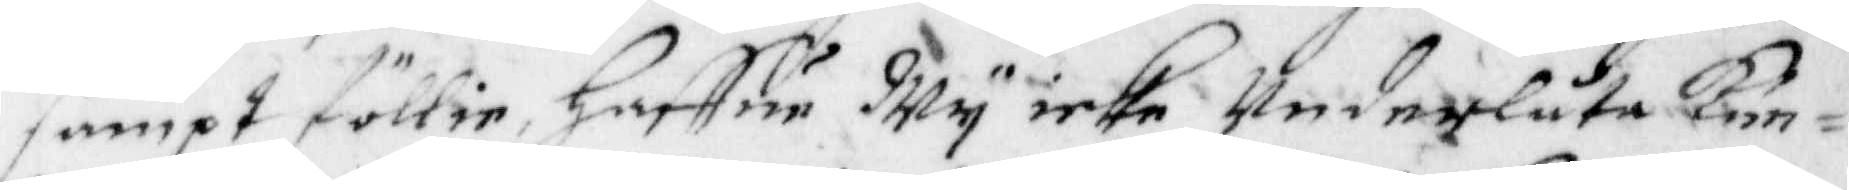sampt föllie, Haffur Wy icke Underlåta kun¬
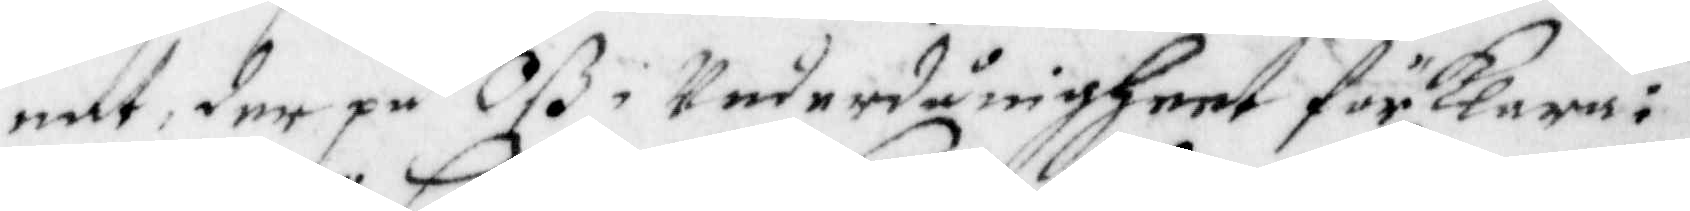nat, der på Oß i Undernånigheet förklara:
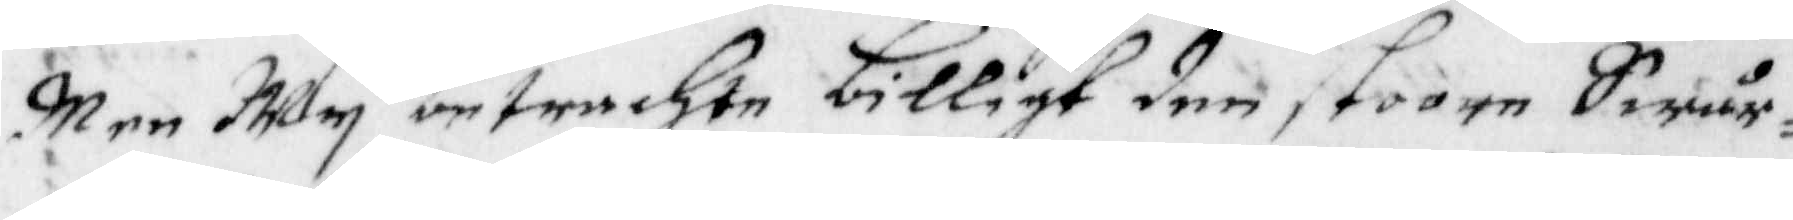Men Wy betrachte billigt den stoore Swår¬
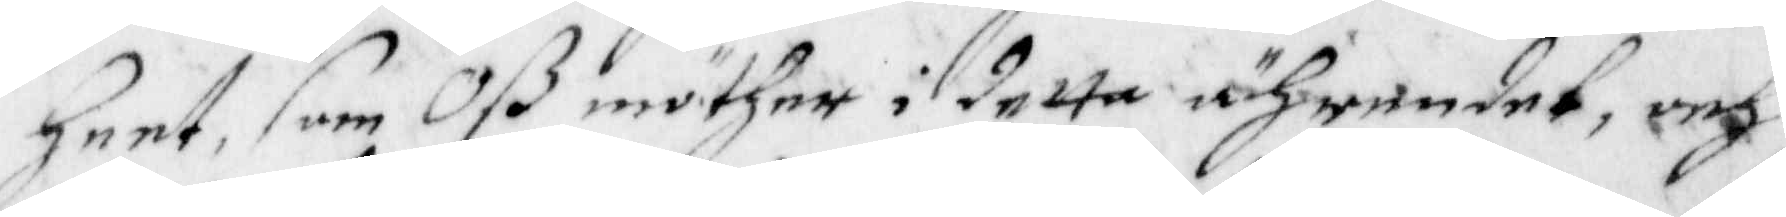heet, som Oß möther i detta ährendet, och
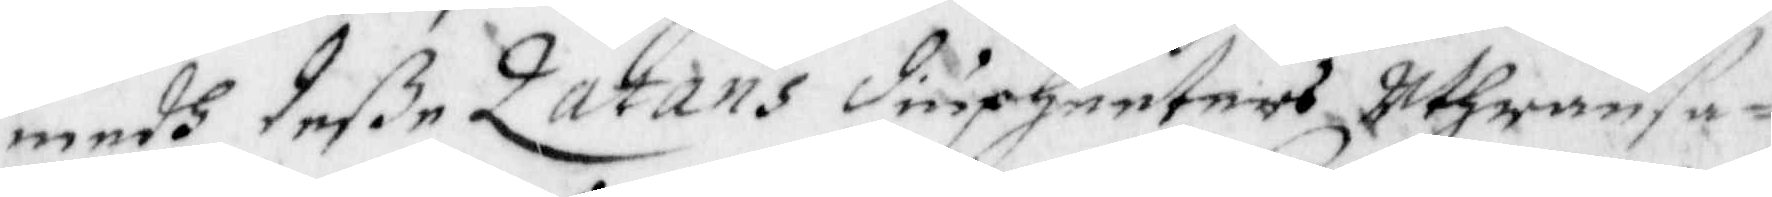medh deße Zatans diupheeters Uthransa¬
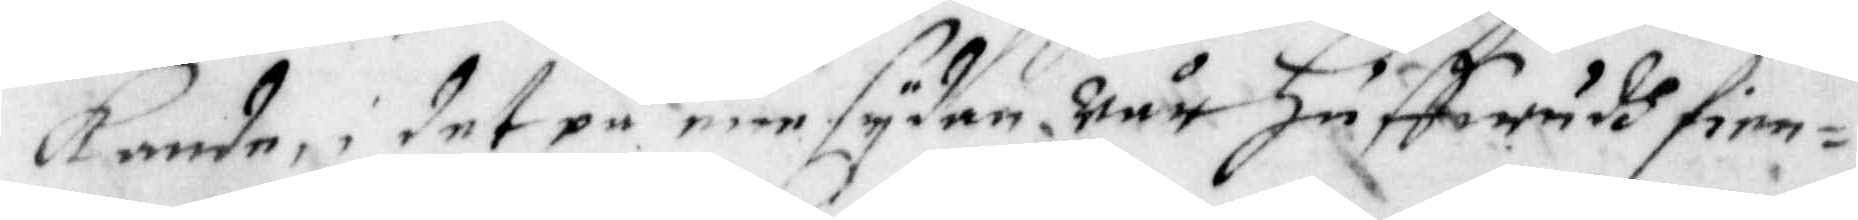kande, i det på ene sydan Wår Huffwudh fien¬
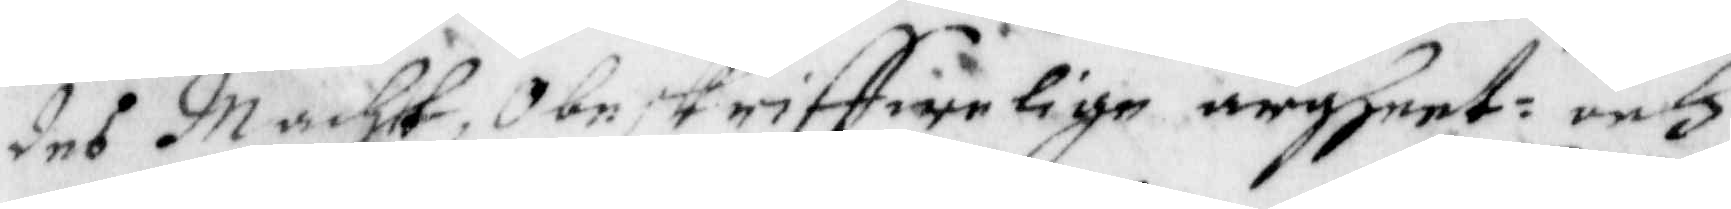des Macht, Obeskriffwelige argheet och
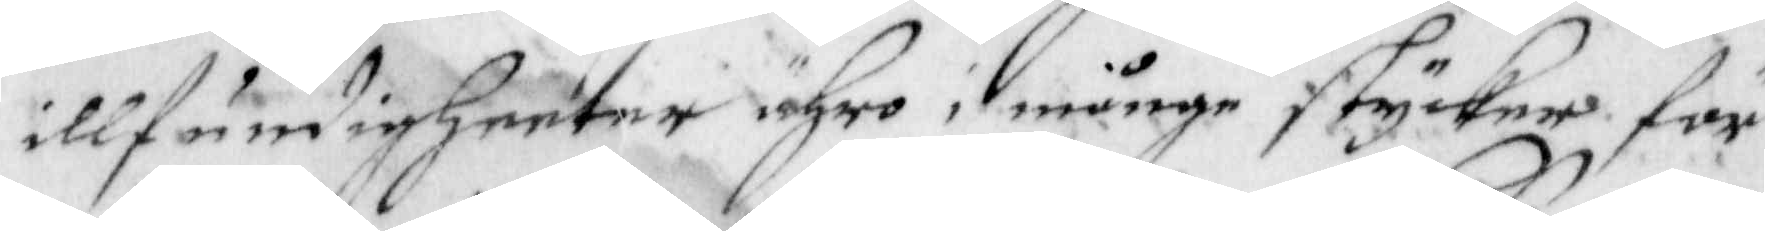illfundigheeter ähro i månge stycker för
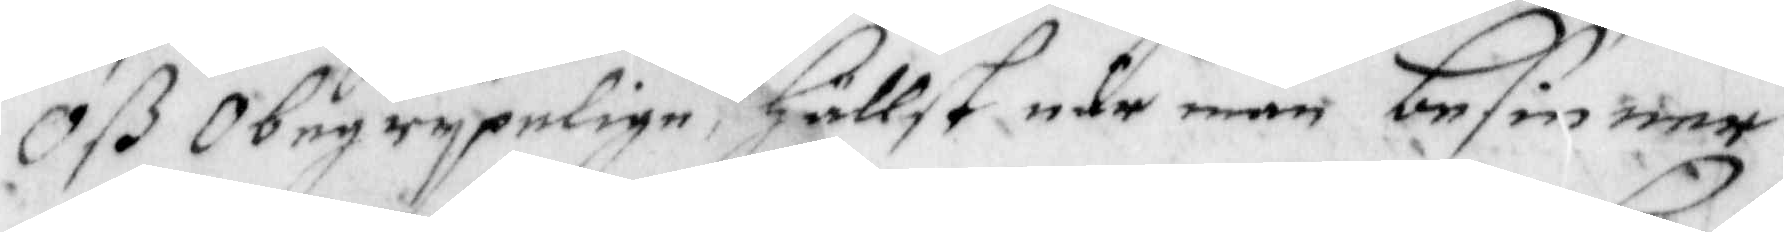Oß Obegrypelige, hällst icke man besinner
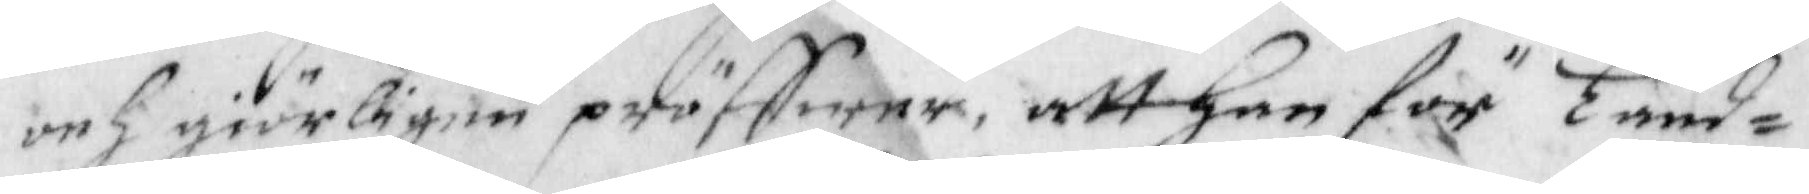och giörligen pröffwar, att han för Land¬
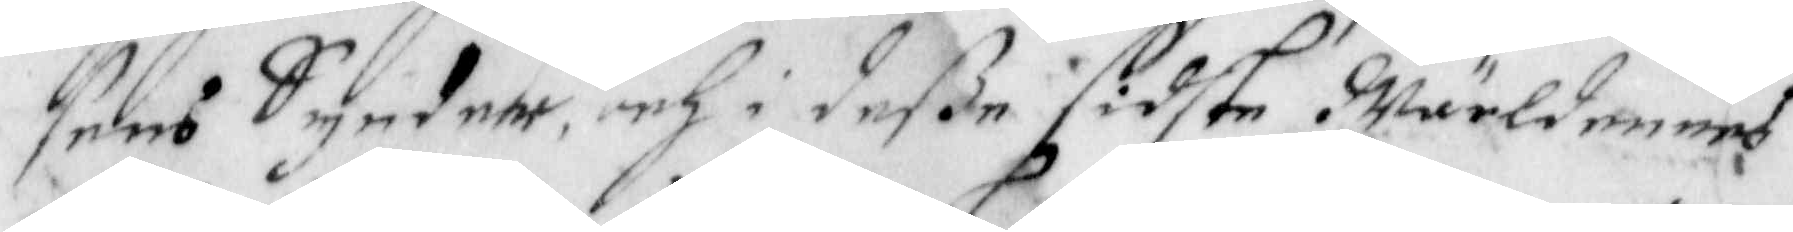sens Synder, och i deße sidste Wärldeners
